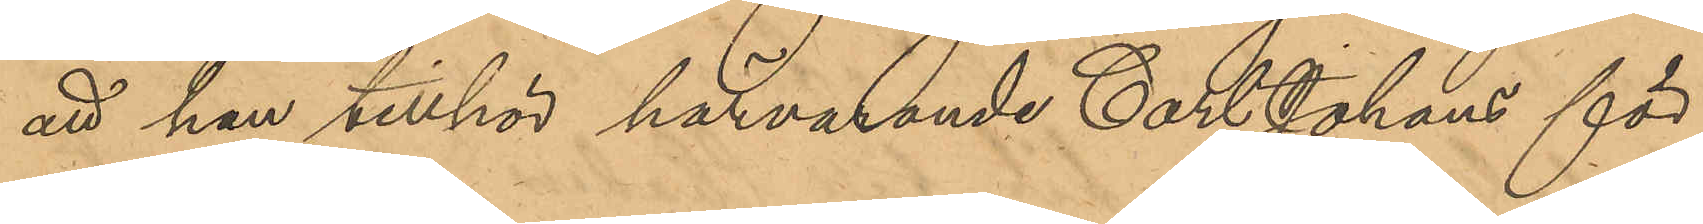att han tillhör härvarande Carl Johans för¬
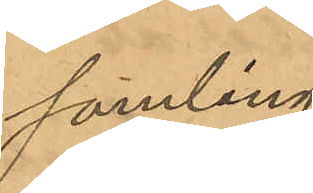samling.
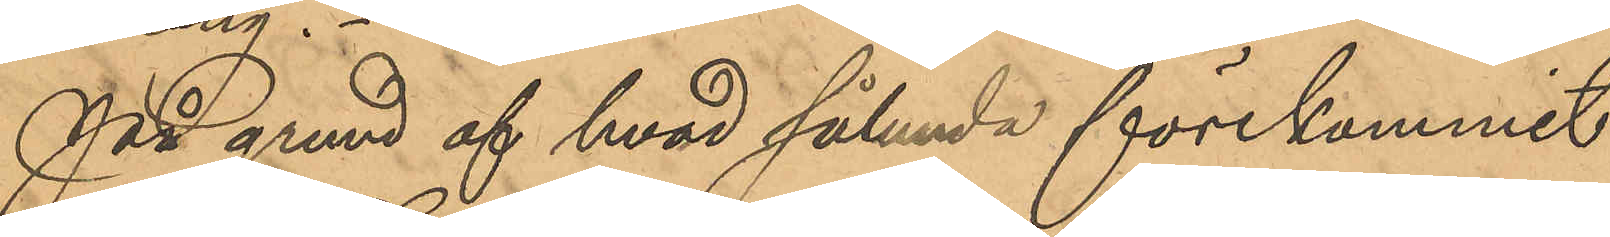På grund af hvad sålunda förekommit
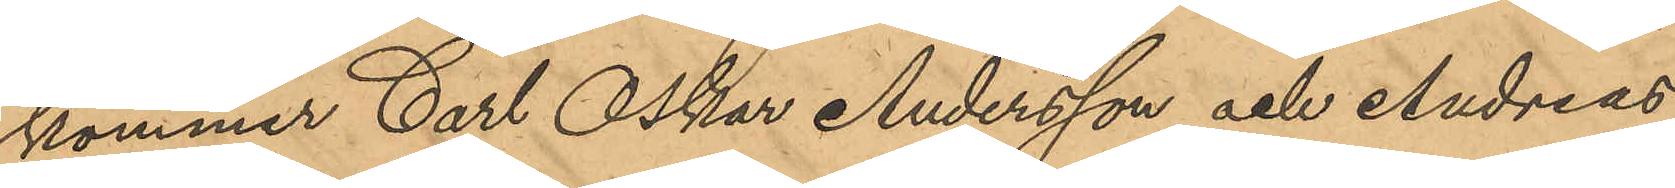kommer Carl Oskar Andersson och Andreas
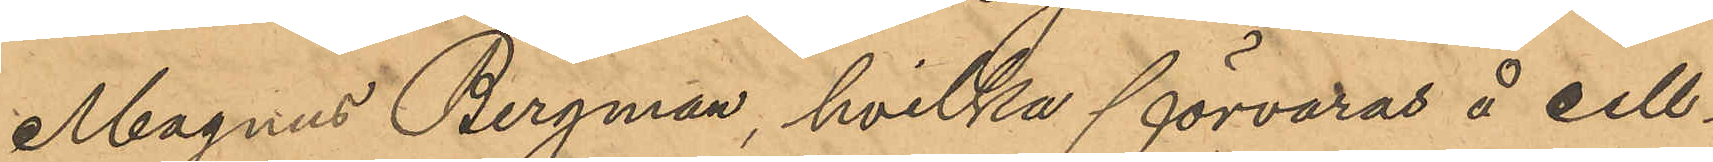Magnus Bergman, hvilka förvaras å cell¬
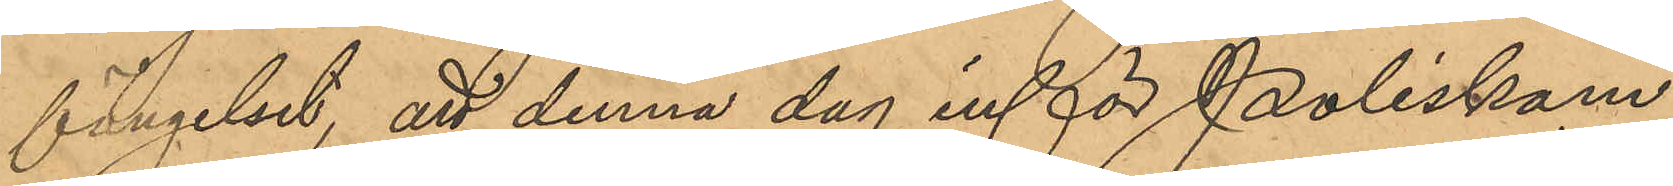fängelset, att denna dag inför Poliskam¬
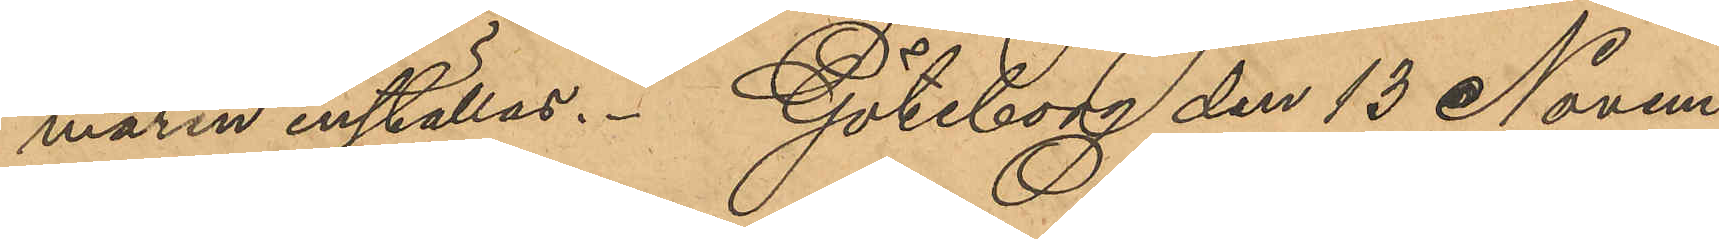maren inställas. Göteborg den 13 Novem¬
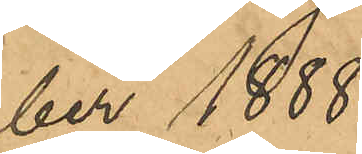ber 1888.
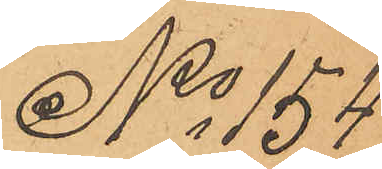No 154
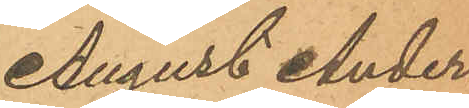August Anders¬
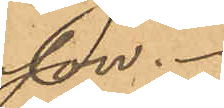son.
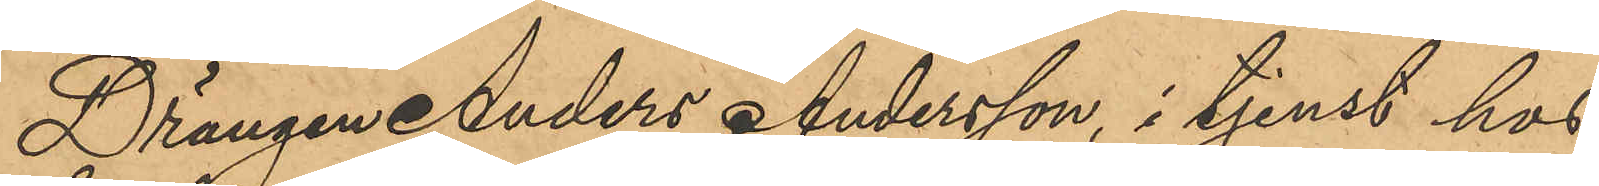Drängen Anders Andersson, i tjenst hos
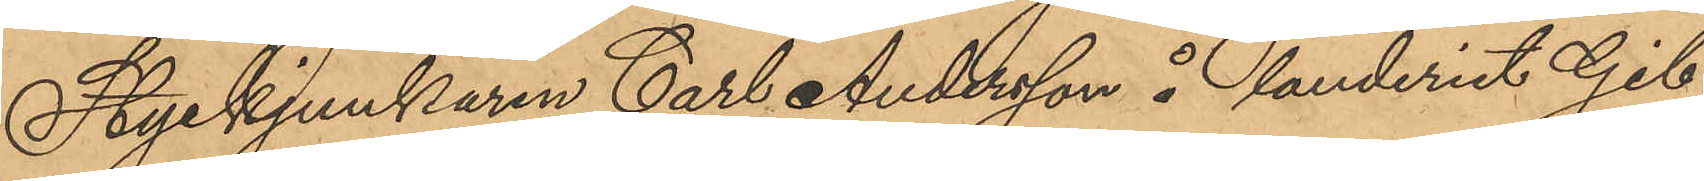Styckjunkaren Carl Andersson å landeriet Gib¬
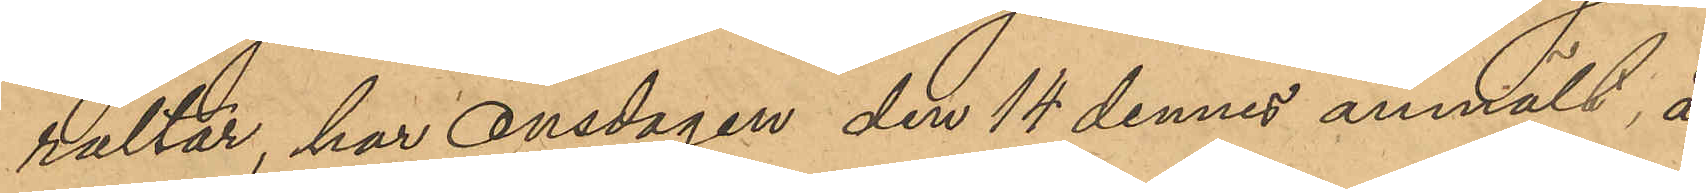raltar, har Onsdagen den 14 dennes anmält, att
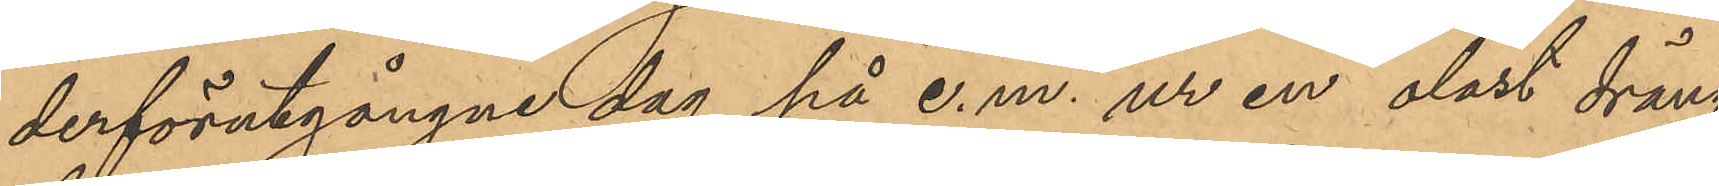derförutgångne dag på e. m. ur en olåst dräng¬
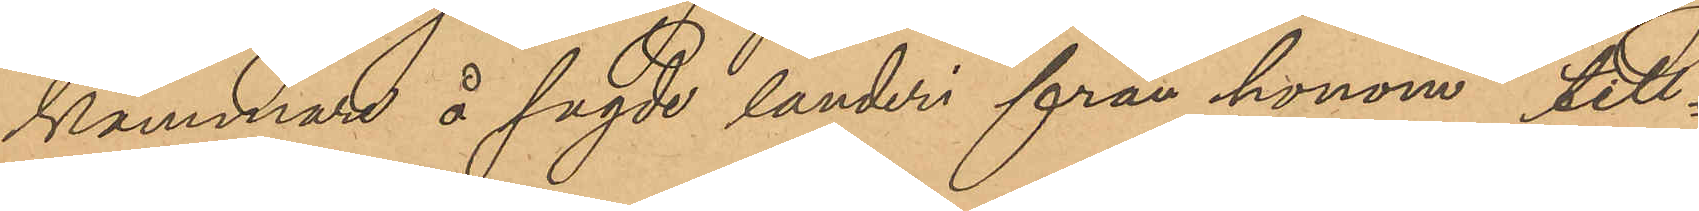kammare å sagde landeri från honom till¬
